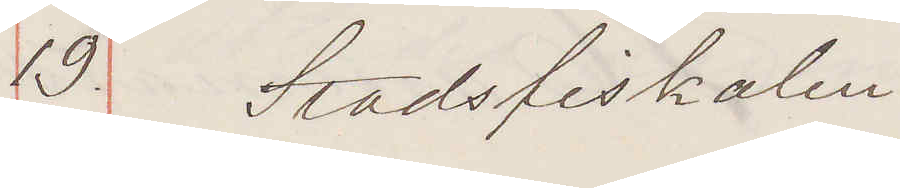19 Stadsfiskalen
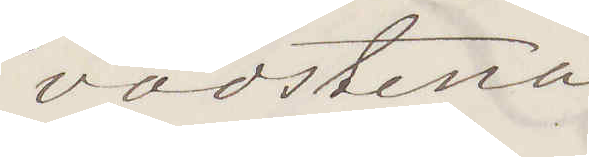vadstena
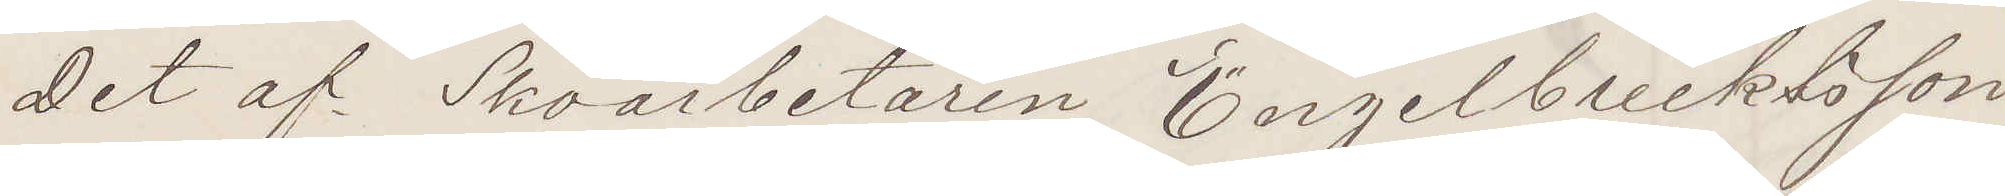Det af Skoarbetaren Engelbrektsson
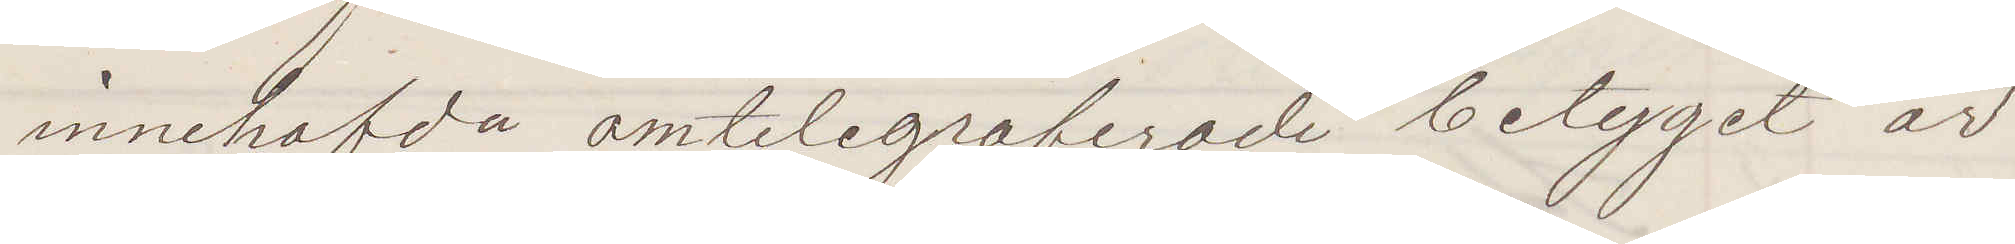innehafvda omtelegraferade betyget är
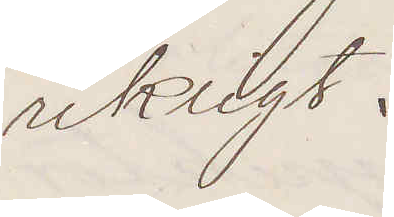riktigt.
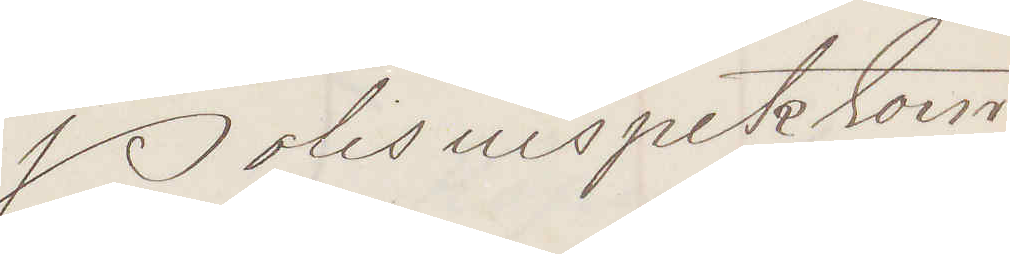Polisinspektorn
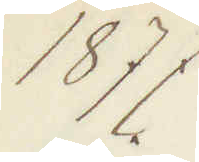1877
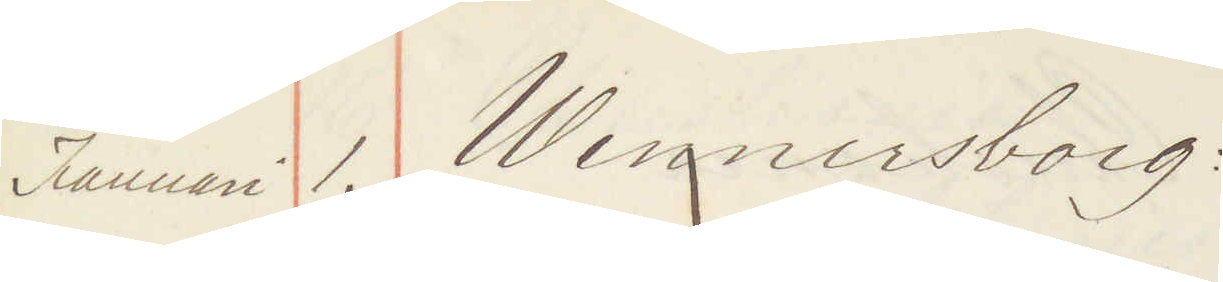Januari 1. Wenersborg:
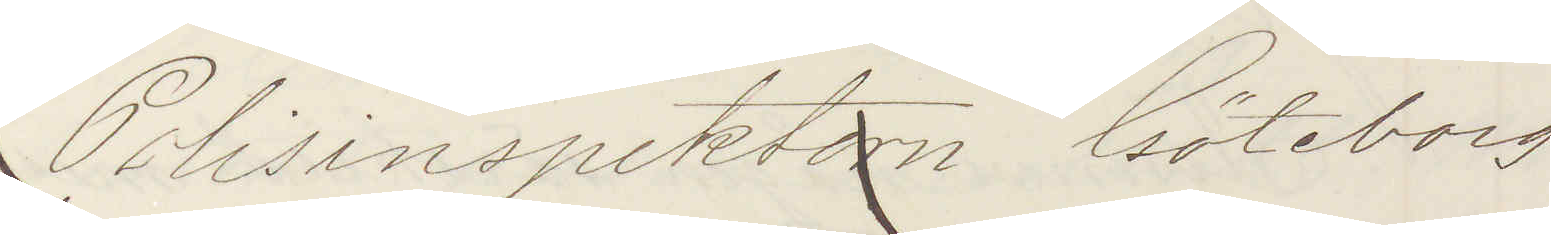Polisinspektorn Göteborg
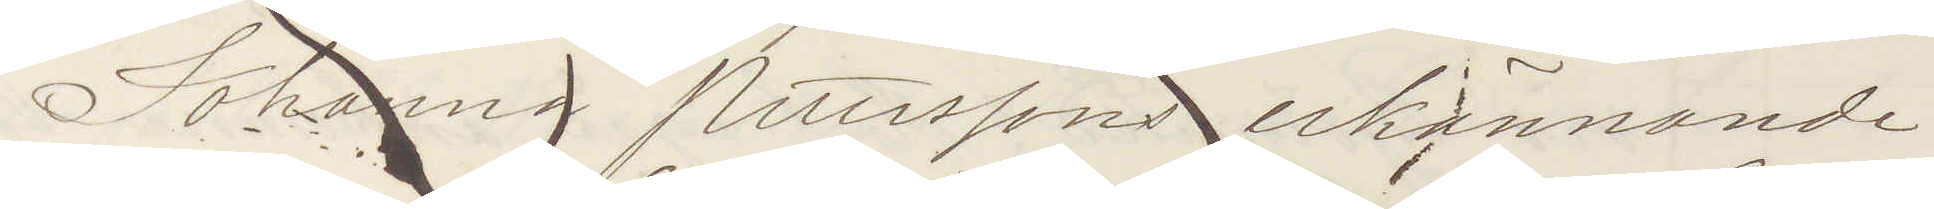Johanna Petterssons erkännande
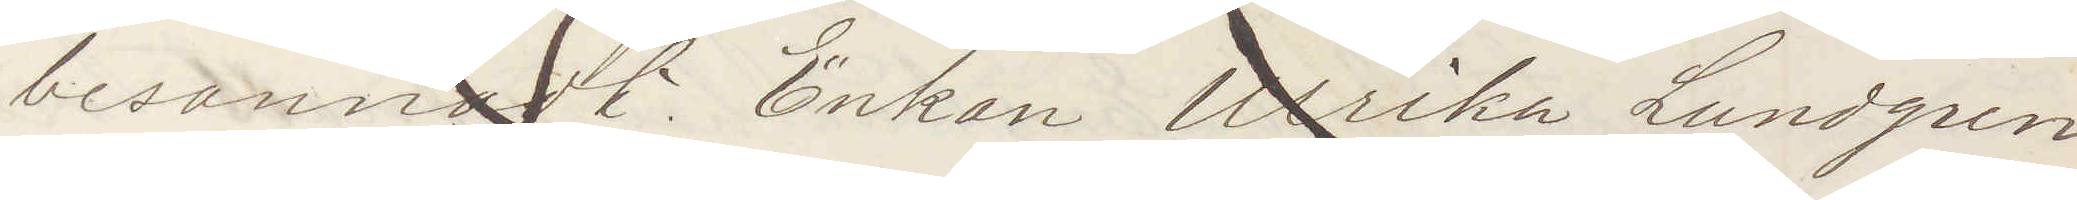besannadt Enkan Ulrika Lundgren
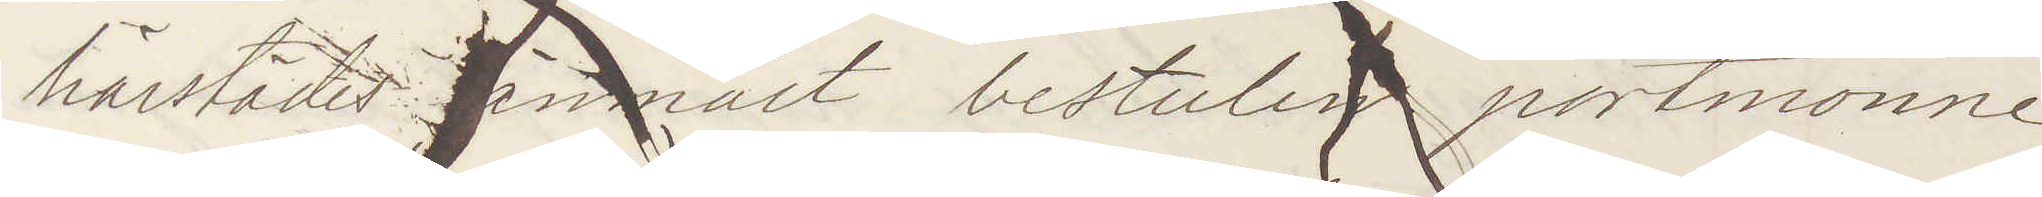härstädes anmält bestulen portmonne
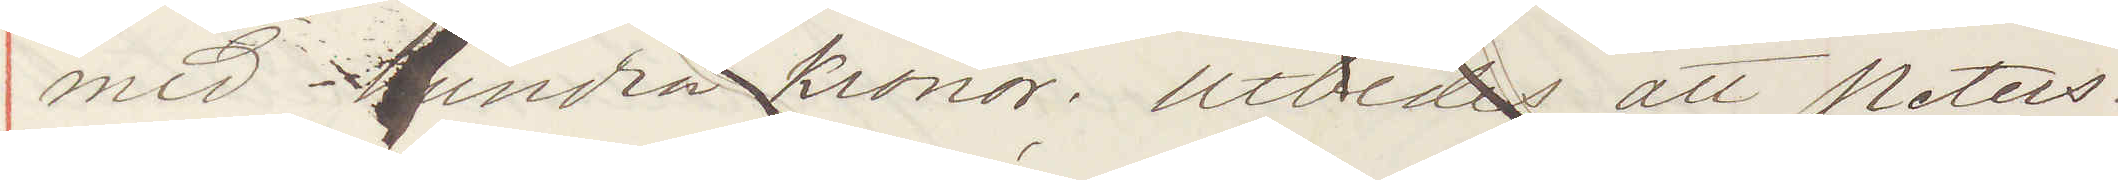med hundra kronor. Utbedes att Peters¬
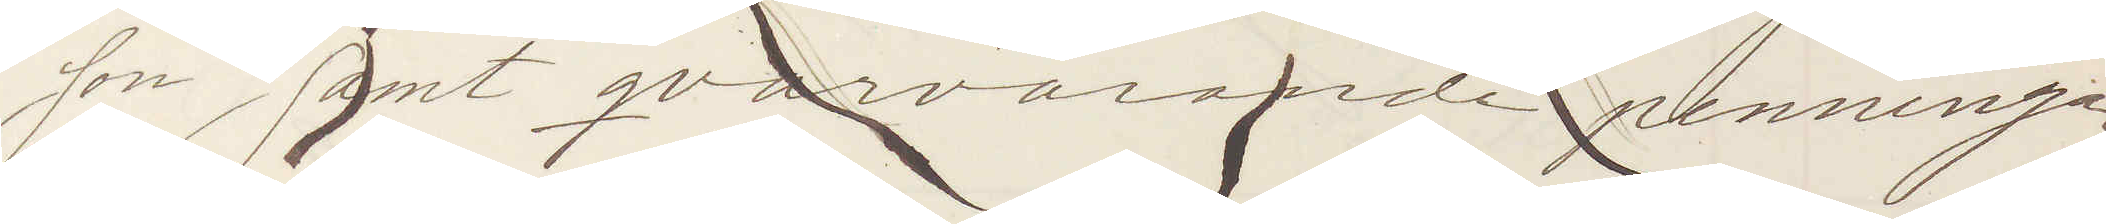son samt qvarvarande penningar
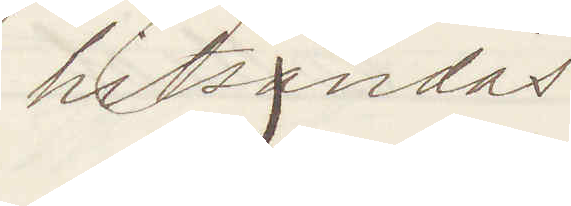hitsändes
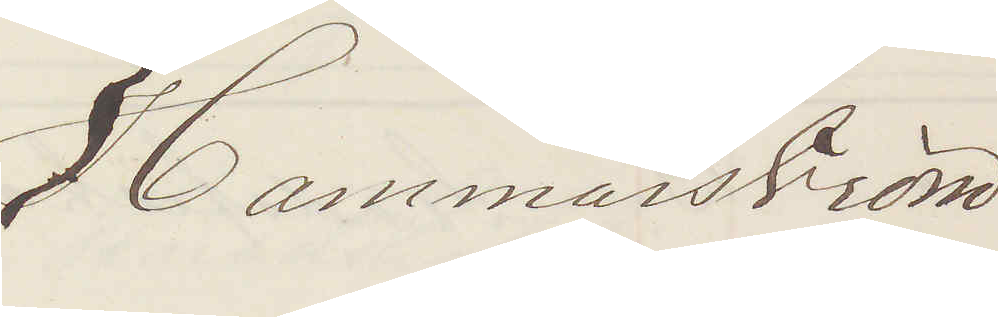Hammarström
